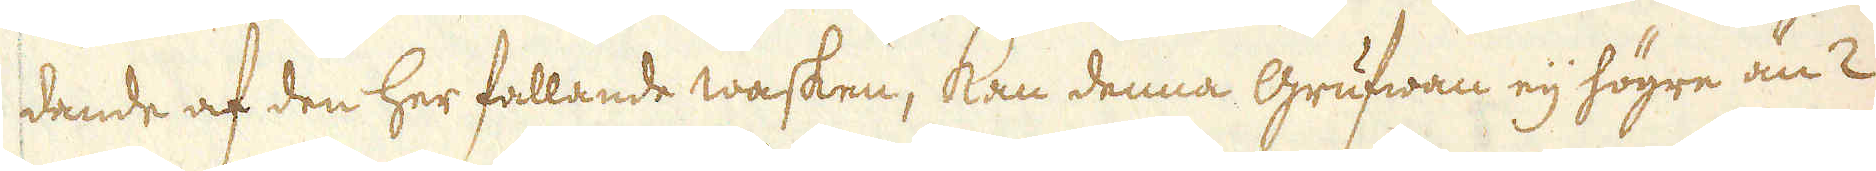dande af den her fallande wasken, kan denna Grufwan eij högre än 2
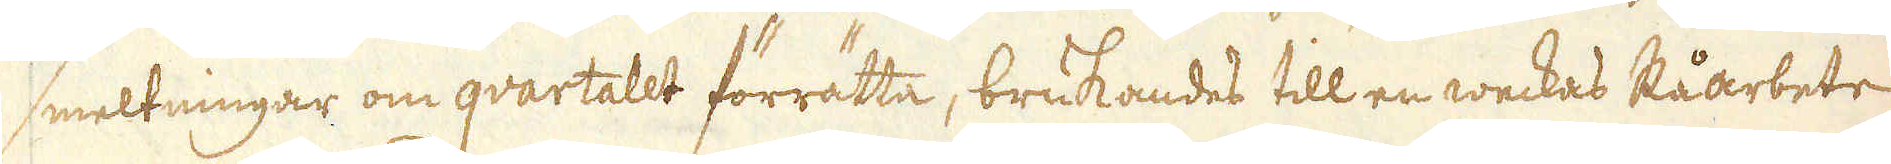smeltningar om qvartalet förrätta, brukandes till en weckas Råarbete
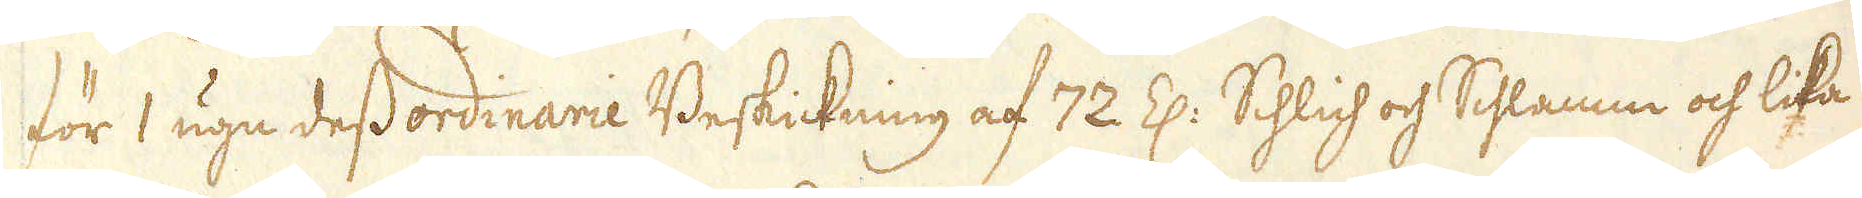för 1 ugn dess ordinarie Beskickning af 72 Z: Schlich och Schlamm och lika
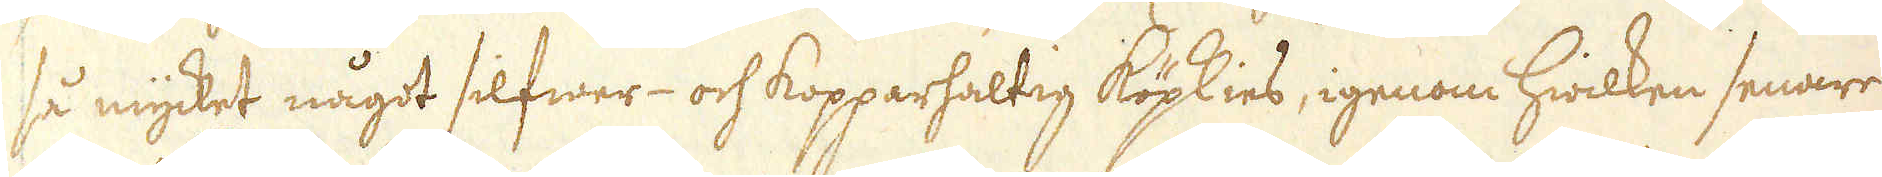så mycket något silfwer- och kopparhaltig köpkies, igenom hwilken senare
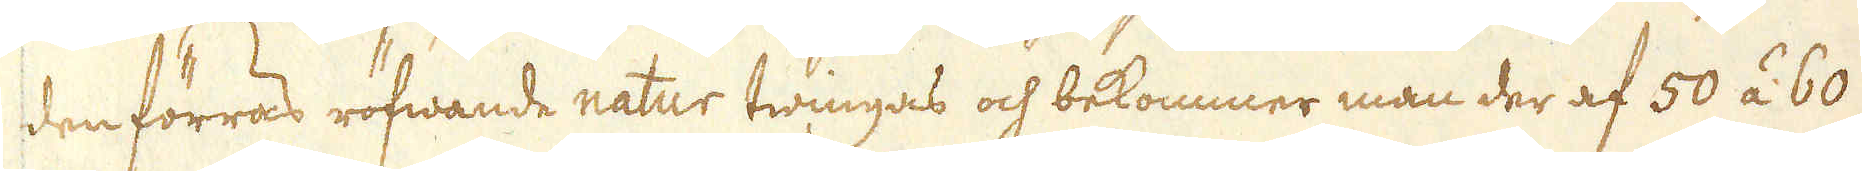den förras röfwande natur twingas och bekommer man der af 50 á 60
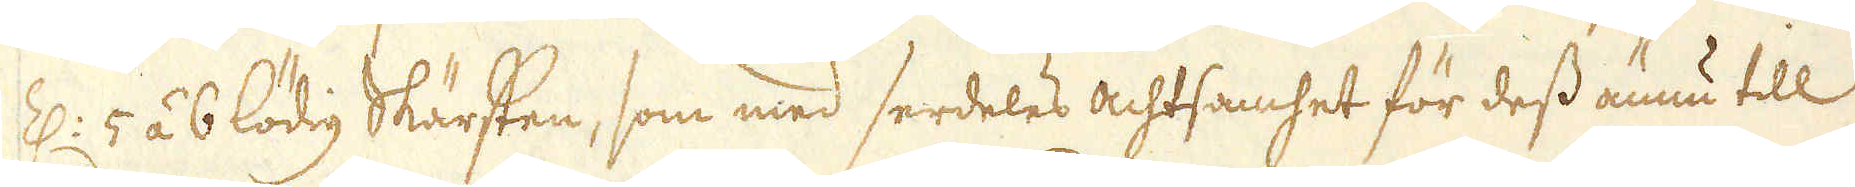Z: 5 á 6 lödig Skärsten, som med serdeles achtsamhet för dess ännu till
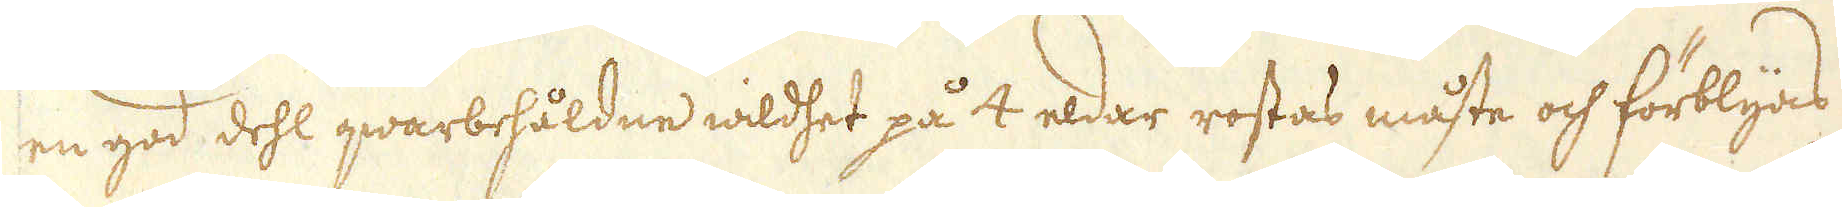en god dehl qwarbehåldne wildhet på 4 eldar rostas måste och förblyas
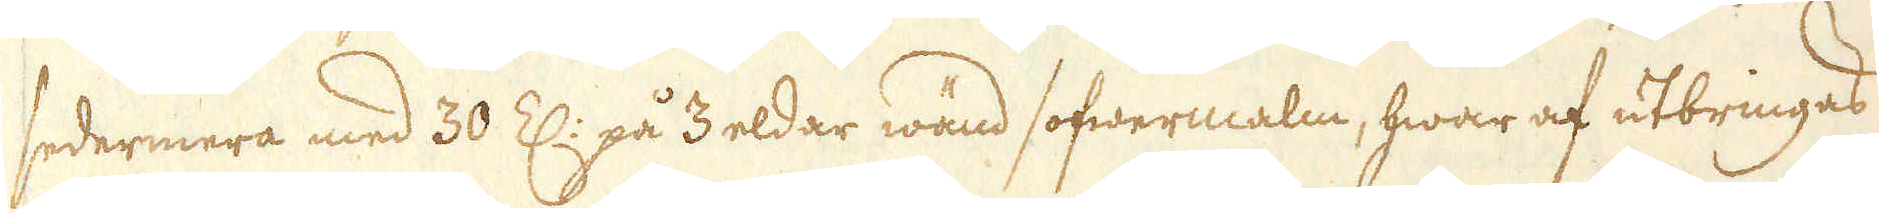sedermera med 30 Z: på 3 eldar wänd sofwermalm, hwar af utbringas
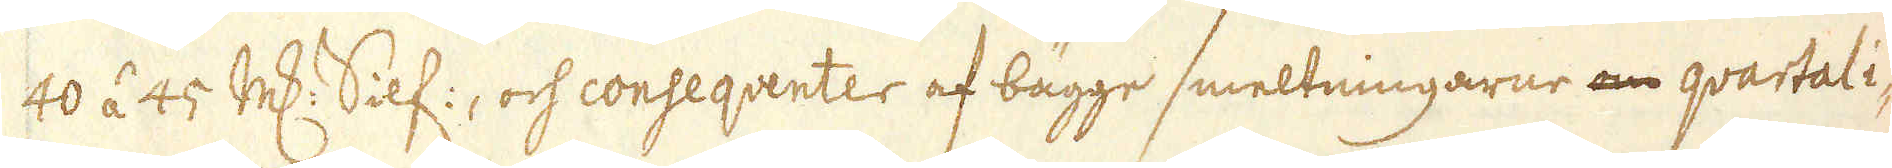40 á 45 marker Silf:, och conseqventer af bägge smeltningarne om qvartali-
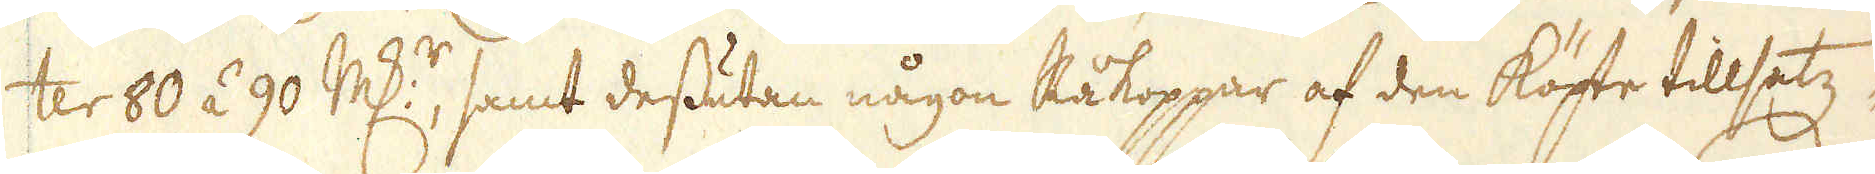ter 80 á 90 marker, samt dessutan någon Råkoppar af den köpte tillsatz-
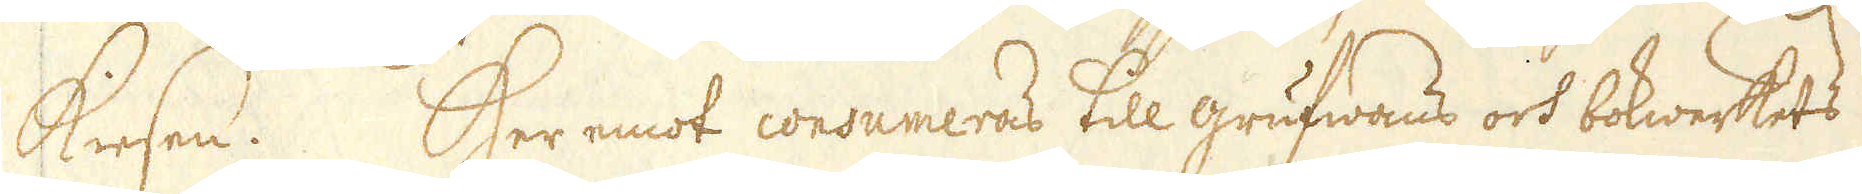Kiesen. Her emot consumeras till grufwans och bokwerkets
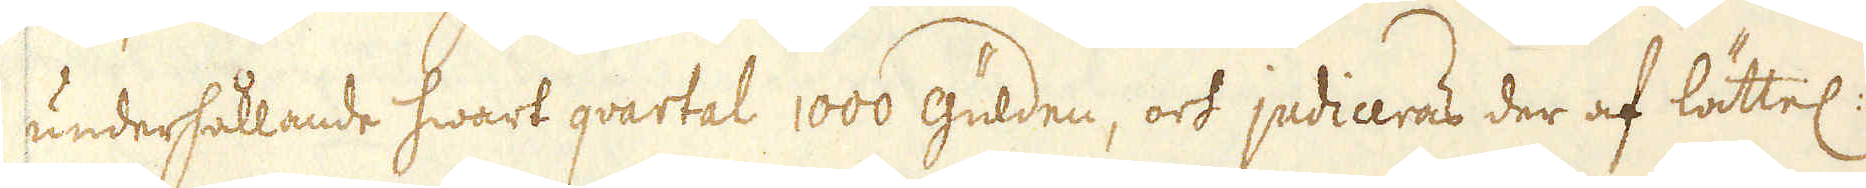underhållande hwart qvartal 1000 gülden, och judiceras der af lättel:
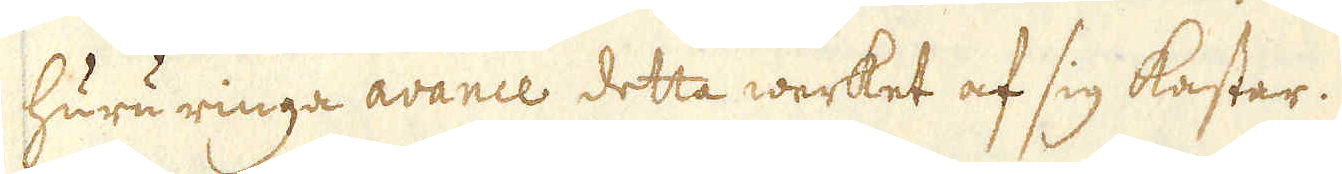huru ringa avance detta werket af sig kastar.
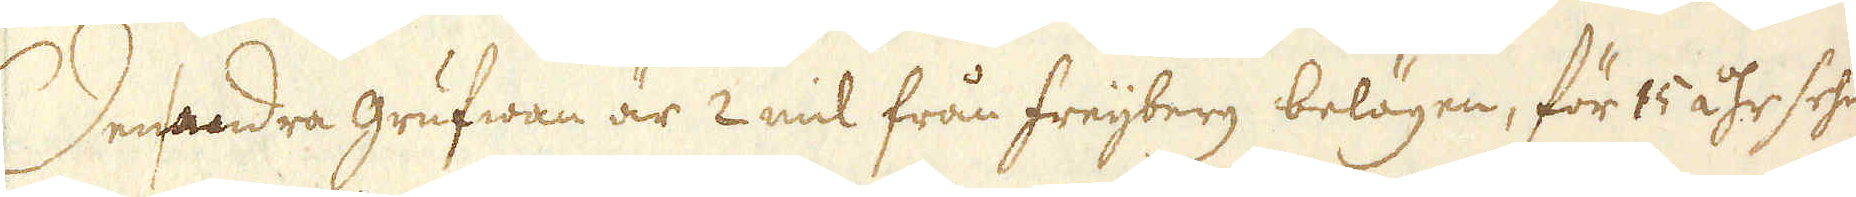Den andra grufwan är 2 mil från Freijberg belägen, för 15 åhr sehn
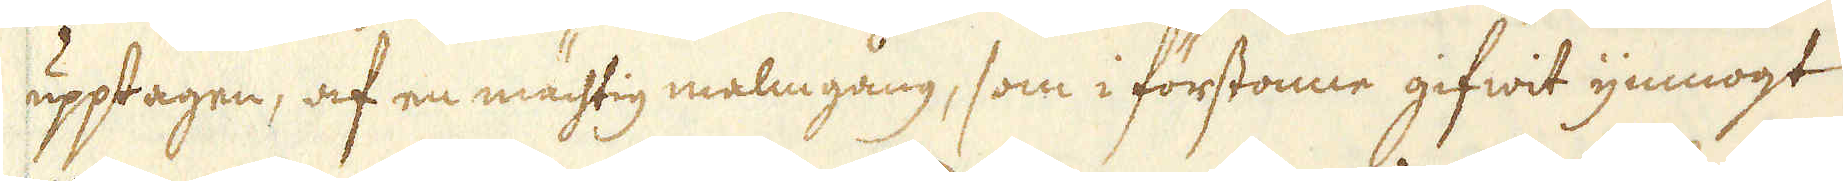upptagen, af en mächtig malmgång, som i förstonne gifwit ymnogt
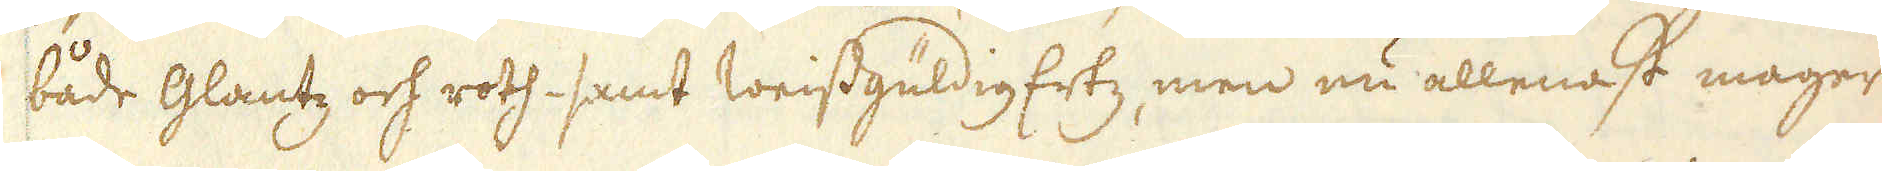både glantz och roth- samt weissgüldig Ertz, men nu allenast mager
